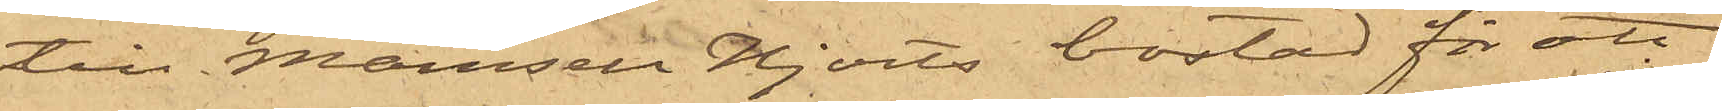till Mamsell Hjorts bostad för att
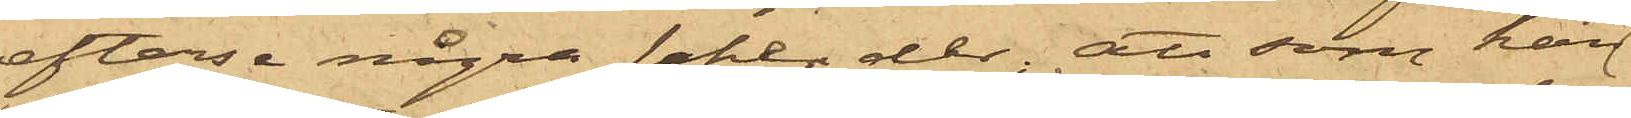efterse några saker der; att som han
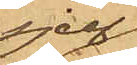sjelf
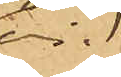vid
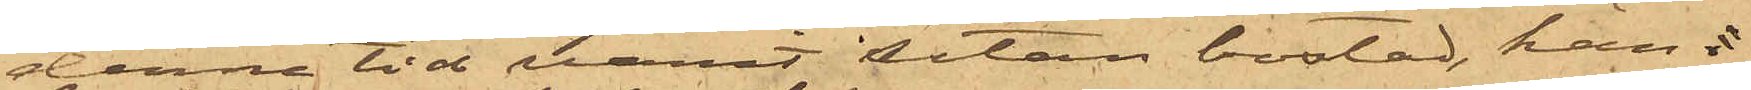denna tid varit utan bostad, han d
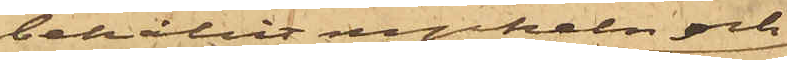behållit nyckeln och
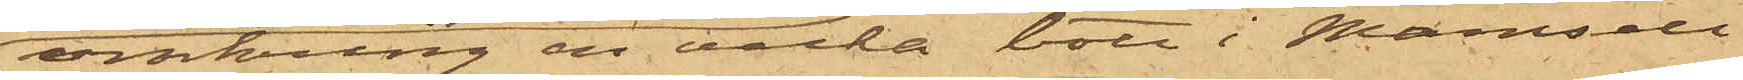omkring en vecka bott i Mamsell
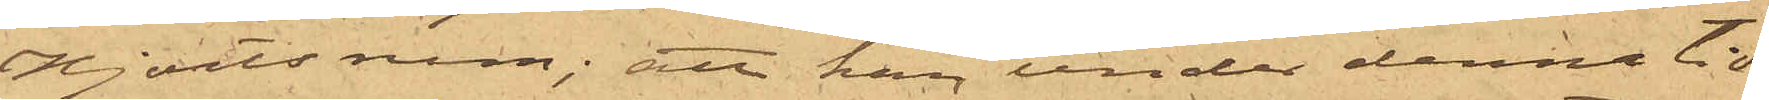Hjorts rum; att han under denna tid 
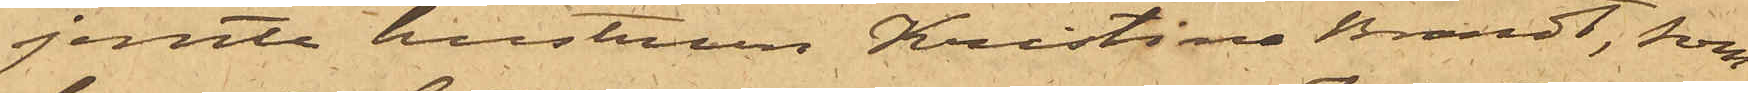jemte hustrun Kristina Brandt, som
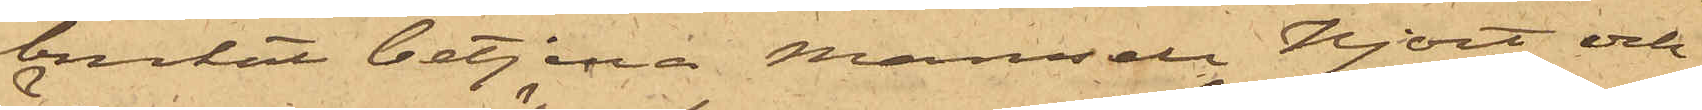brukat betjena Mamsell Hjort och
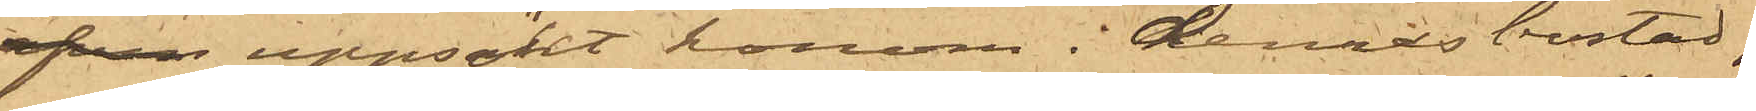ofvan uppsökt honom i dennas bostad,
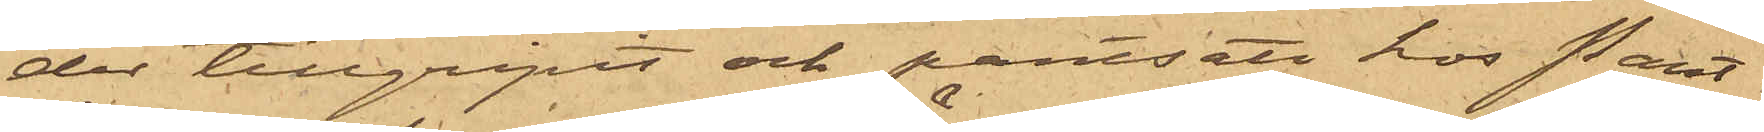der tillgripit och pantsatt hos Pant¬
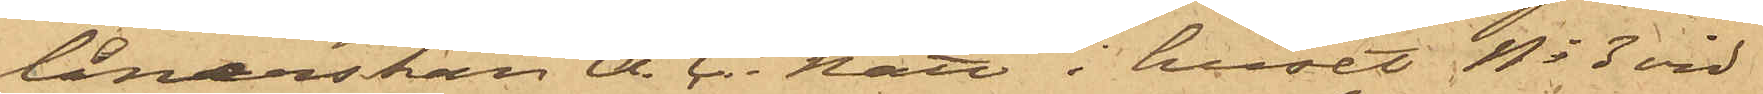lånerskan A. C. Nätt i huset No 3 vid
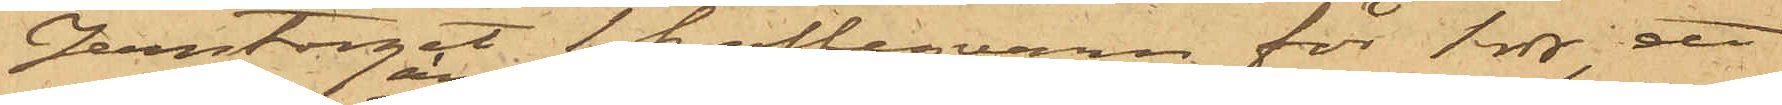Jerntorget 1 kaffeqvarn för 1 rdr, ett
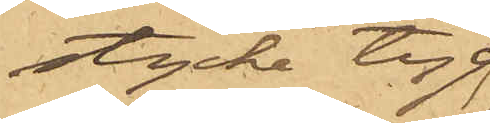stycke tyg
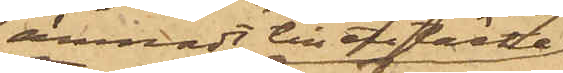ämnadt till öfvertäcke
